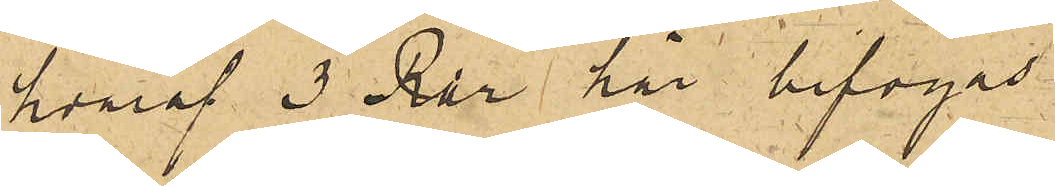hvaraf 3 Rdr här bifogas.
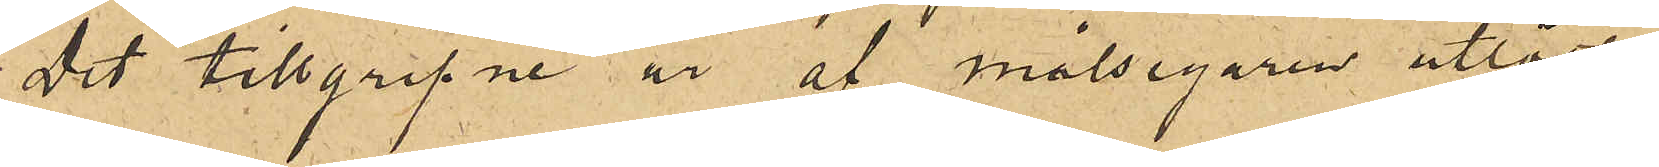Det tillgripne är af målsegaren utlöst.
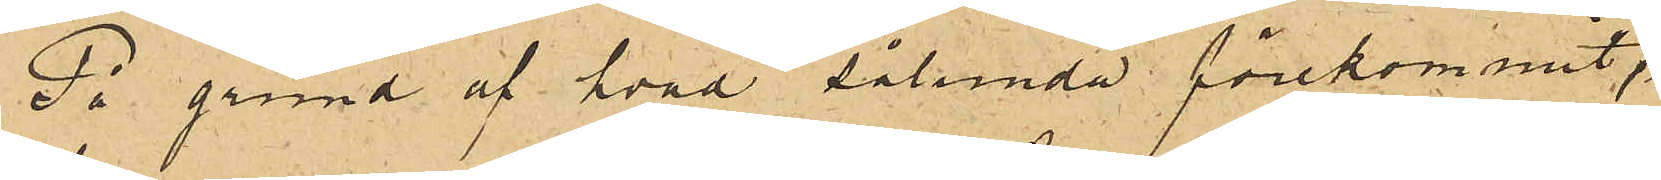På grund af hvad sålunda förekommit,
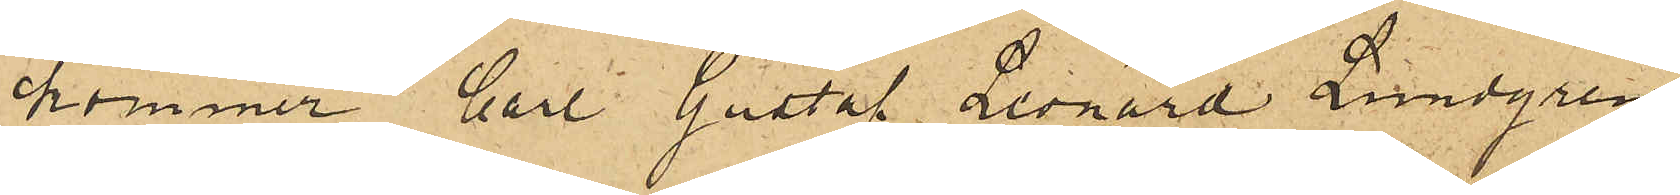kommer Carl Gustaf Leonard Lundgren,
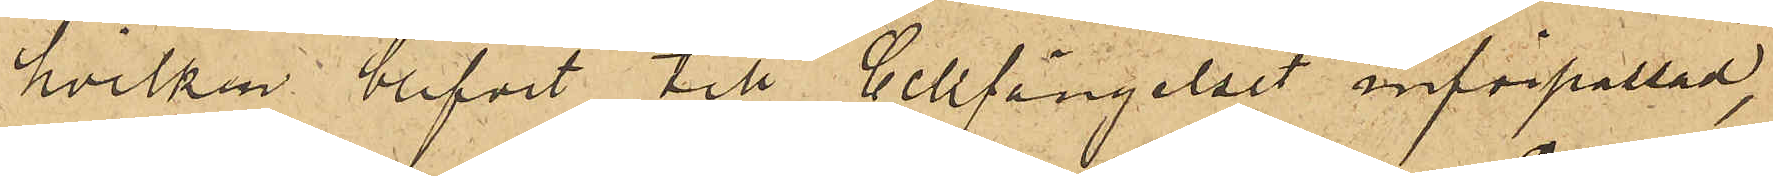hvilken blifvit till Cellfängelset införpassad,
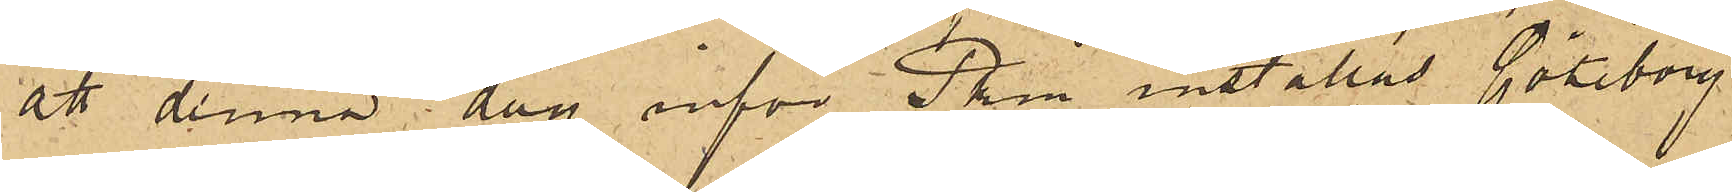att denna dag inför Pkm inställas. Göteborg
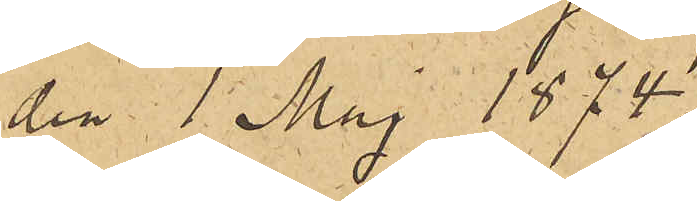den 1 Maj 1874.
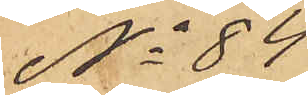No 84
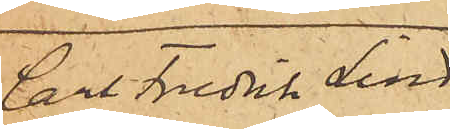Carl Fredrik Lind¬
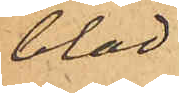blad.
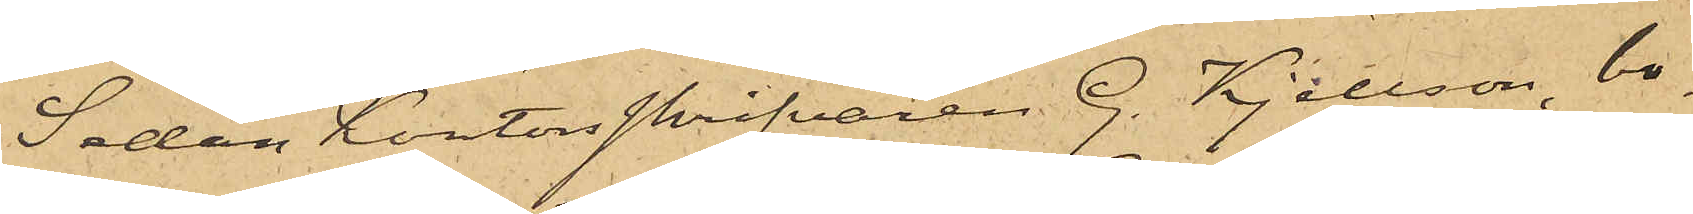Sedan Kontorsskrifvaren G. Kjellson, bo¬
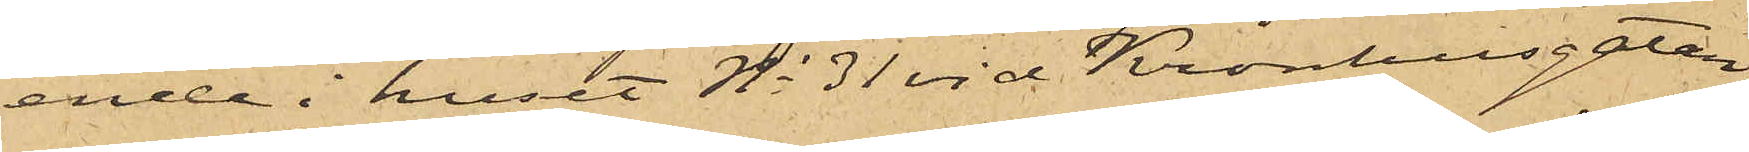ende i huset No 31 vid Kronhusgatan,
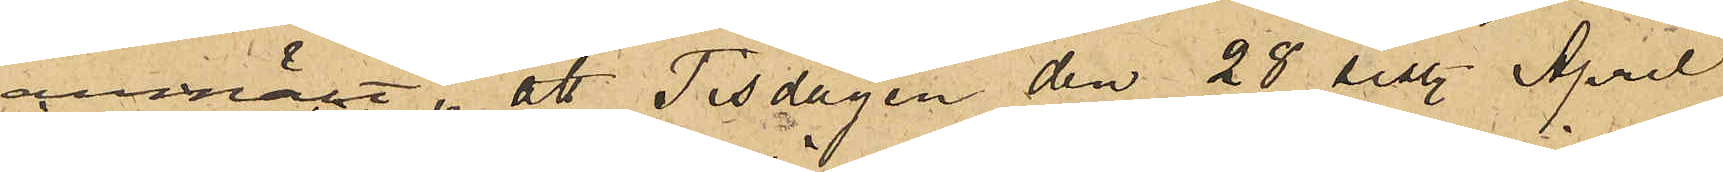anmält, att Tisdagen den 28 sist. April
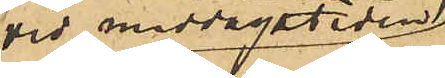vid middagstiden
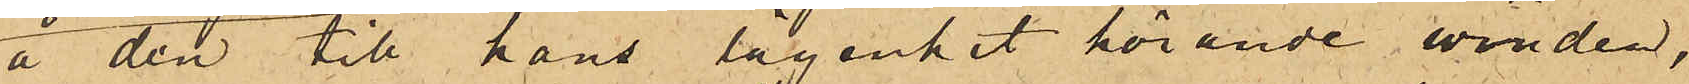å den till hans lägenhet hörande vinden,
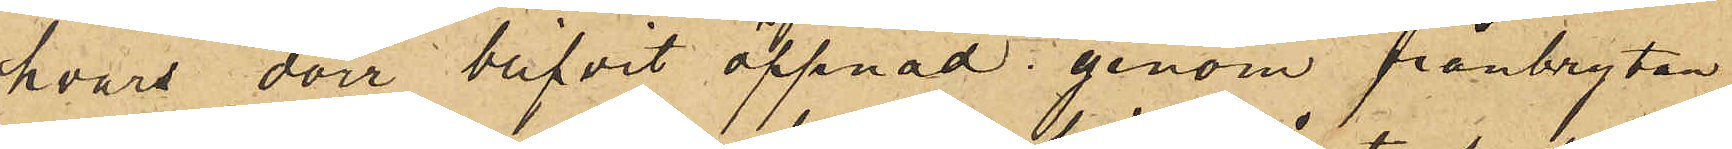hvars dörr blifvit öppnad genom frånbrytan¬
